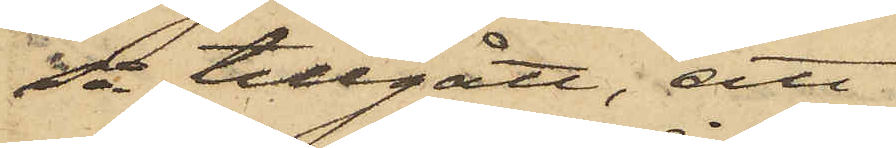så tillgått, att
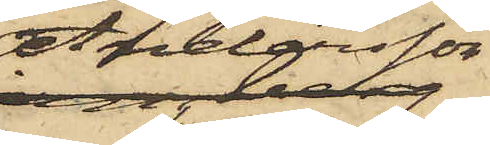Andersson
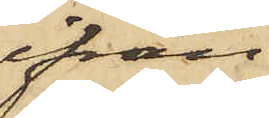ifrån
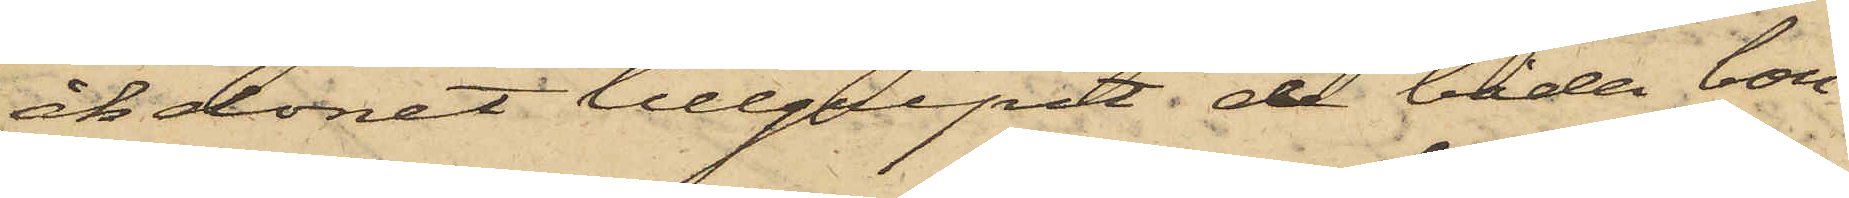åkdonet tillgripit de båda bou¬
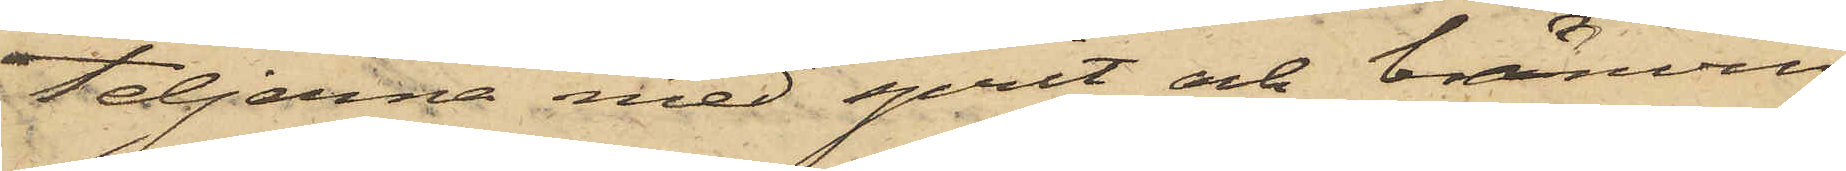teljerna med sprit och bränvin
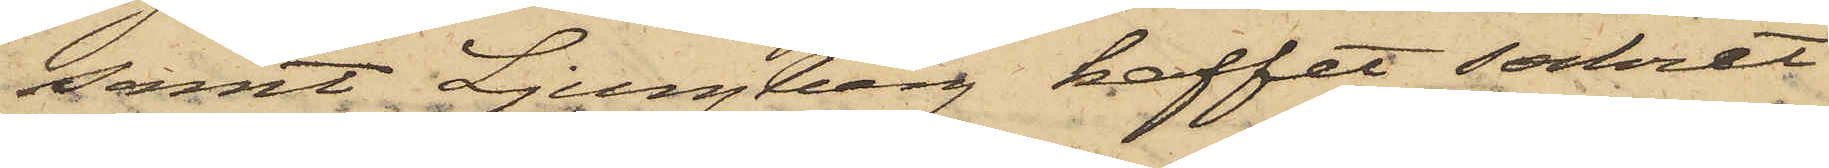samt Ljungberg kaffet, sockret
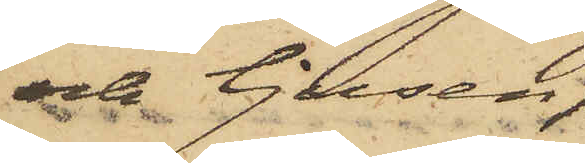och ljusen,
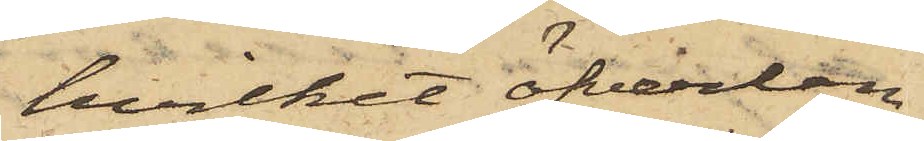hvilket öfverlem¬
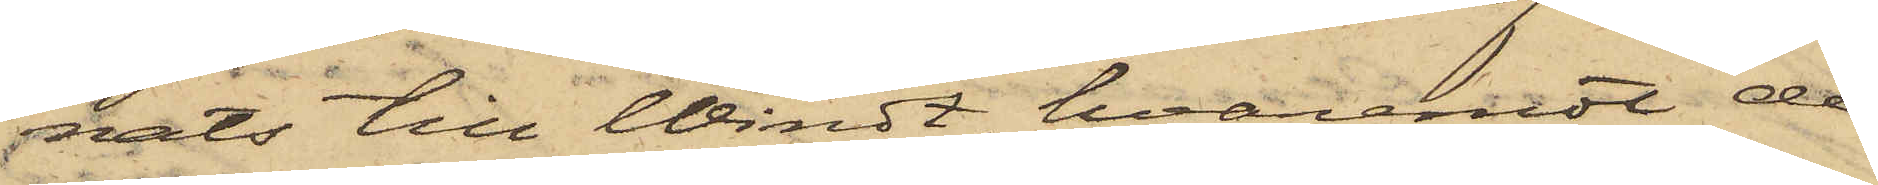nats till Windt, hvaremot de
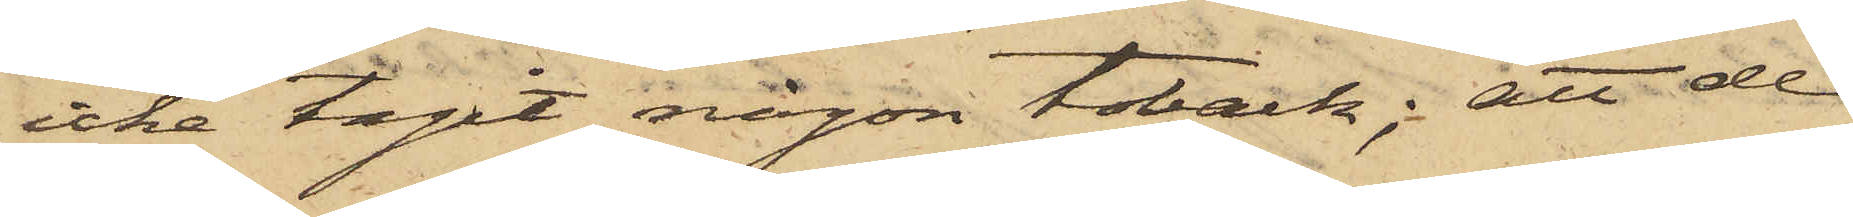icke tagit någon toback; att de
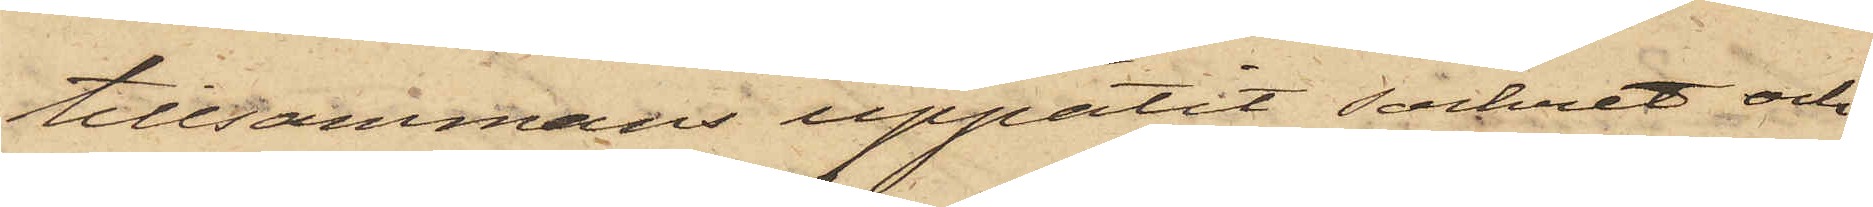tillsammans uppätit sockret och
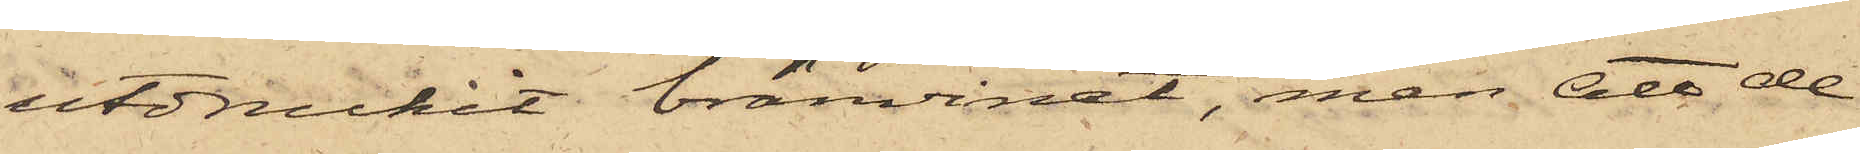utdruckit bränvinet, men att de
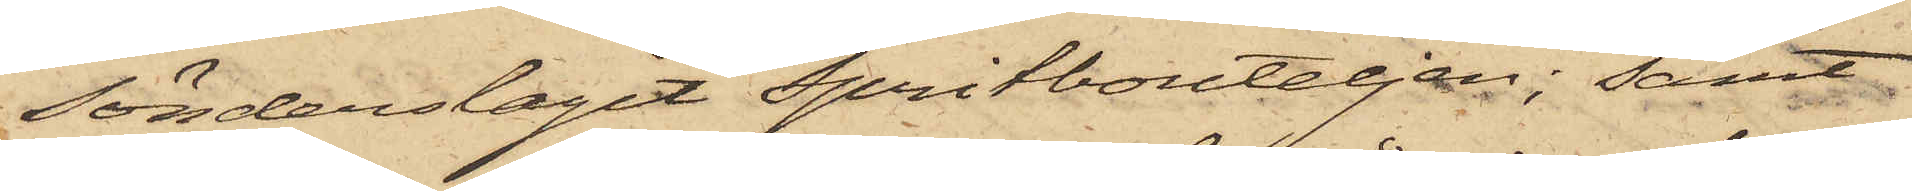sönderslagit spritbouteljen; samt
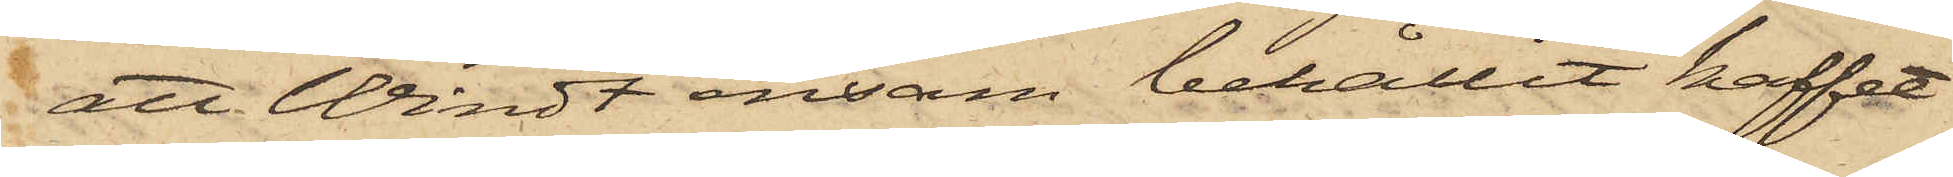att Windt ensam behållit kaffet
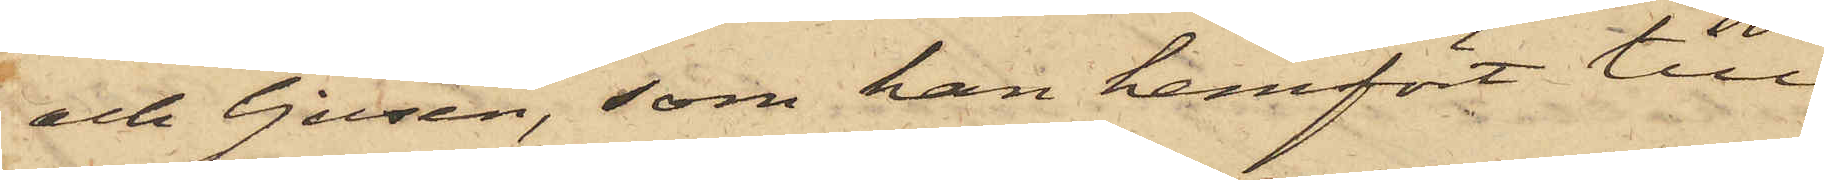och ljusen, som han hemfört till
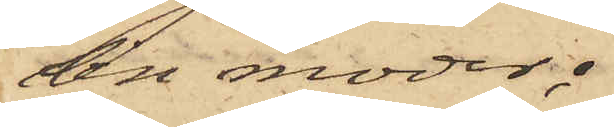sin moder;
